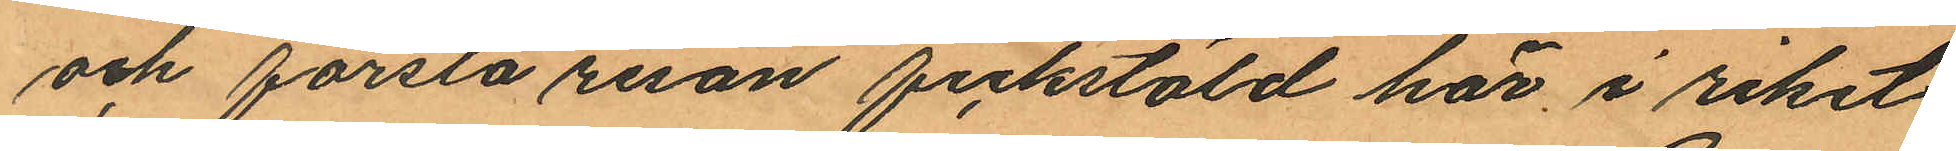och första resan fickstöld här i riket
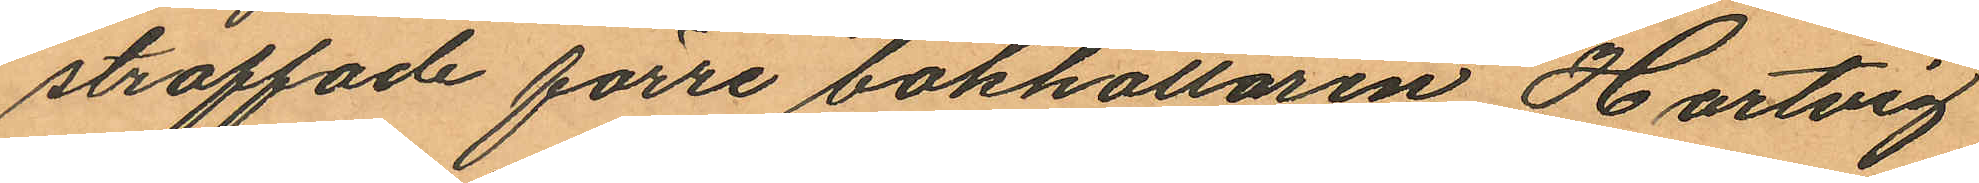straffade förre bokhållaren Hartvig
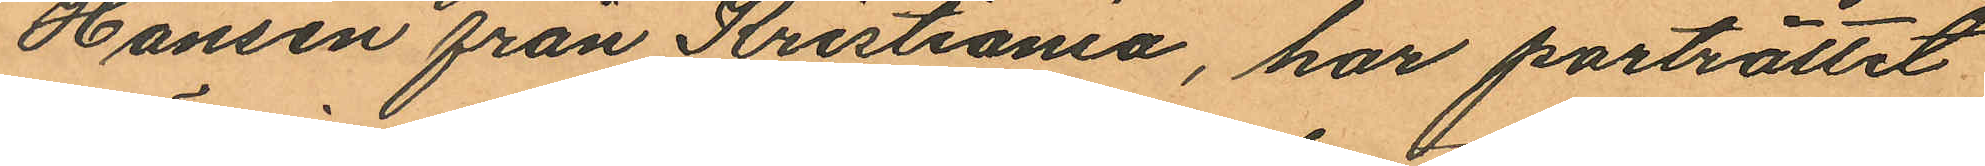Hansen från Kristiania, har porträttet
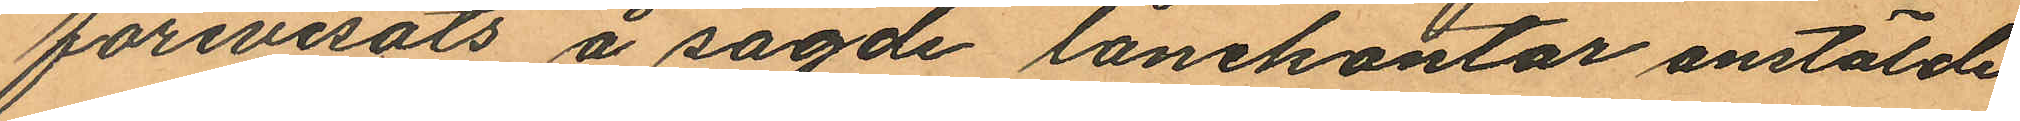förevisats å sagde lånekontor anstälde
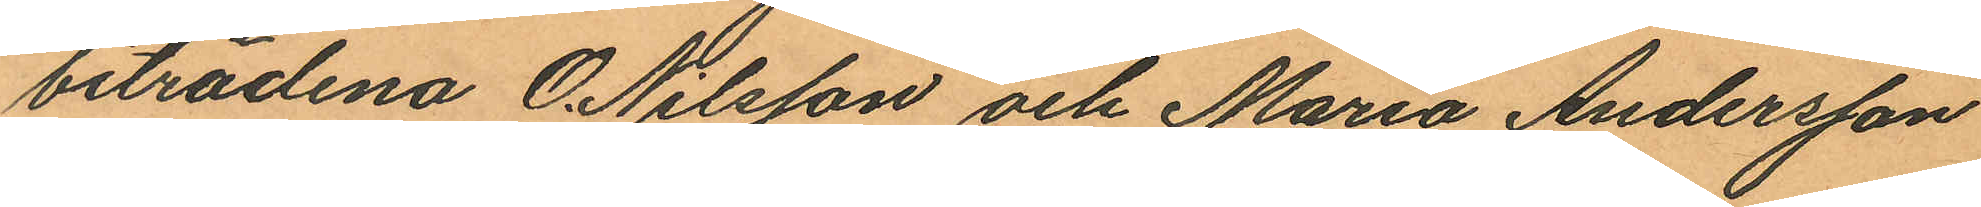biträdena O. Nilsson och Maria Andersson
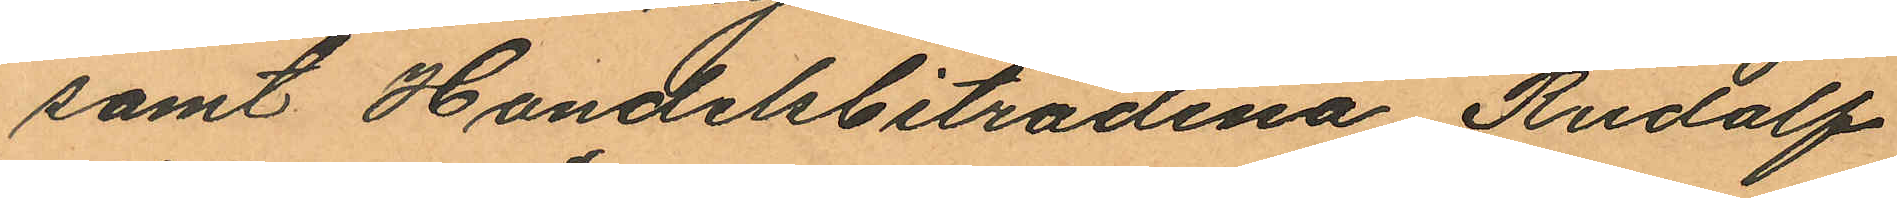samt Handelsbiträdena Rudolf
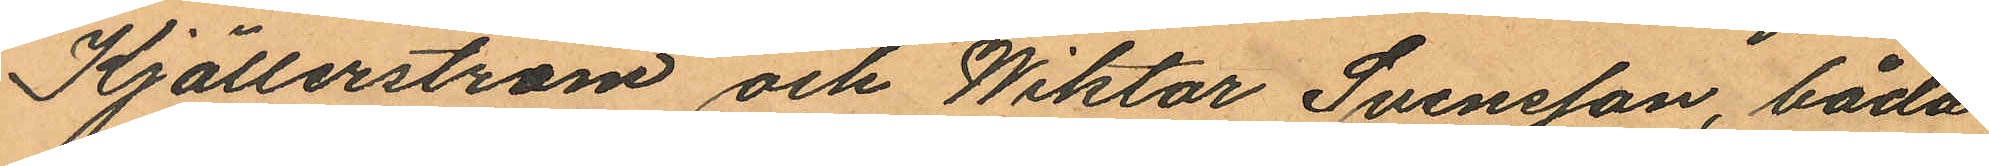Kjällerström och Wiktor Svensson, båda
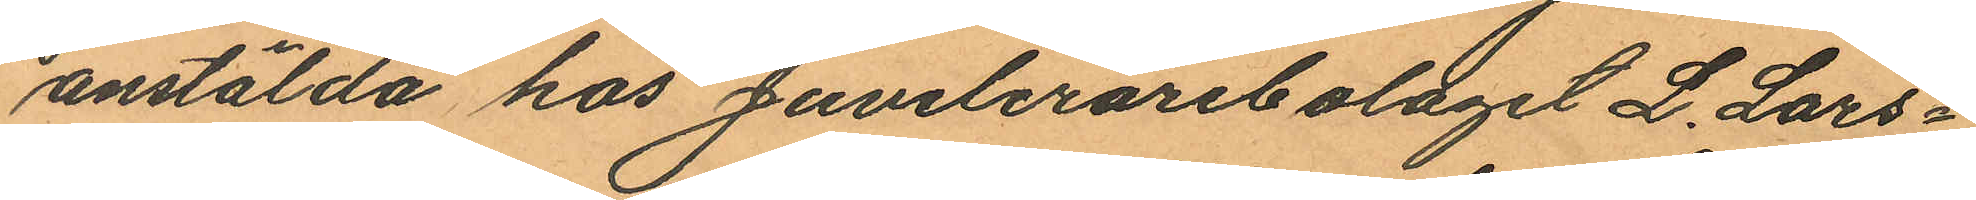anstälda hos Juvelerarebolaget L. Lars¬
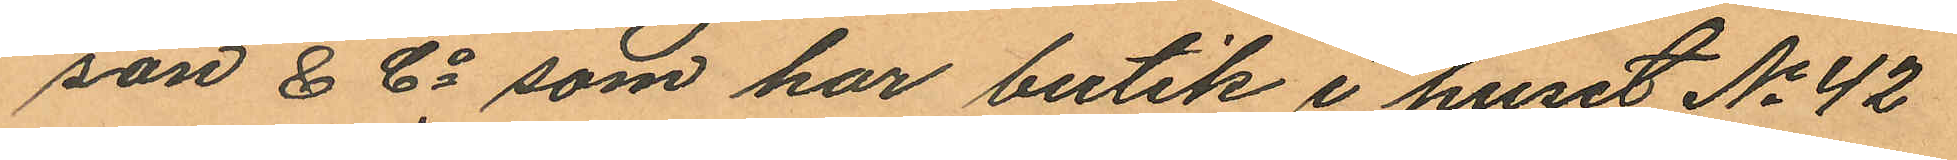son & Co som har butik i huset No 42
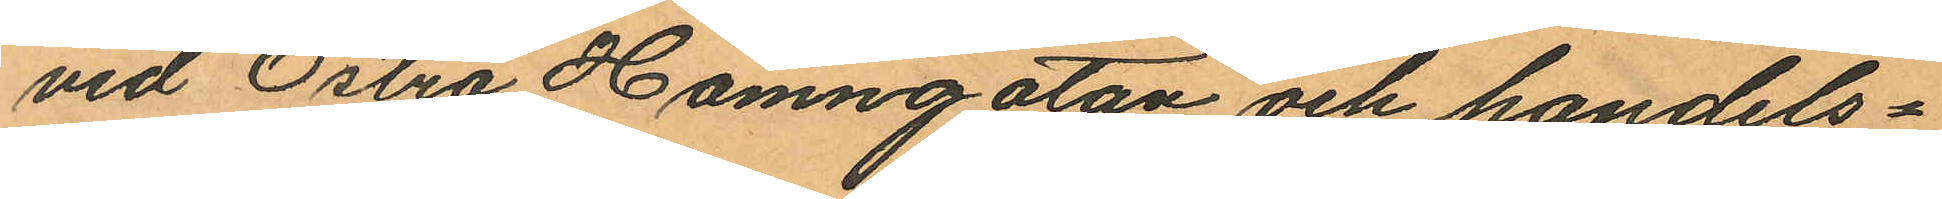vid Östra Hamngatan och handels¬
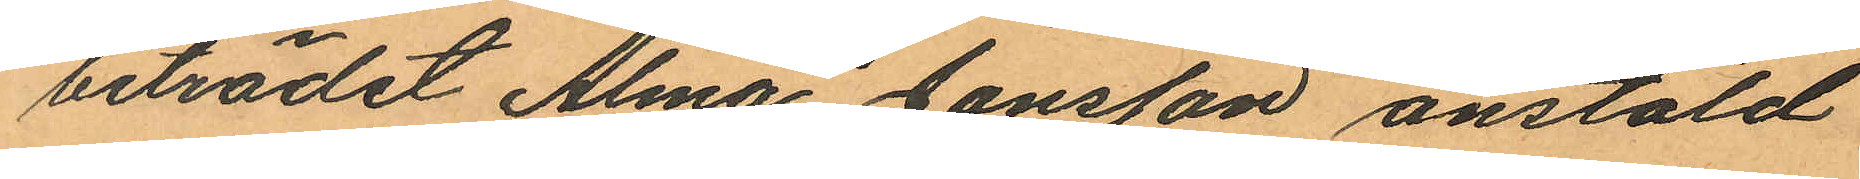biträdet Alma Jansson anstäld
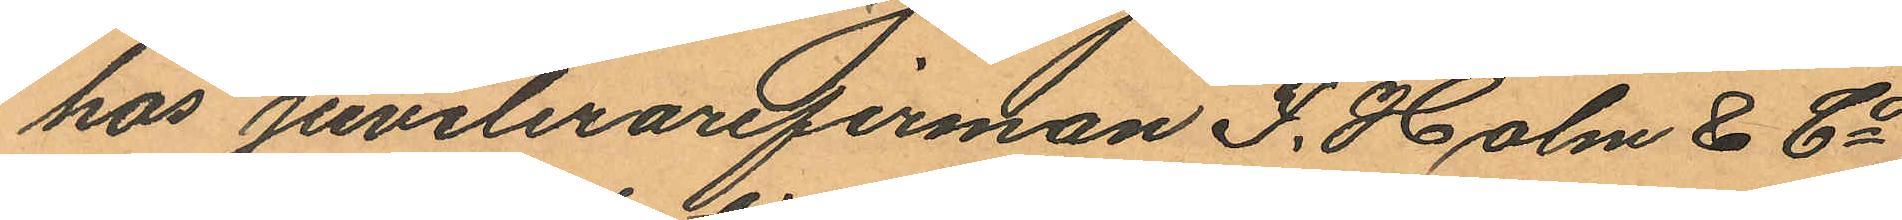hos juvelerarefirman F. Holm & Co
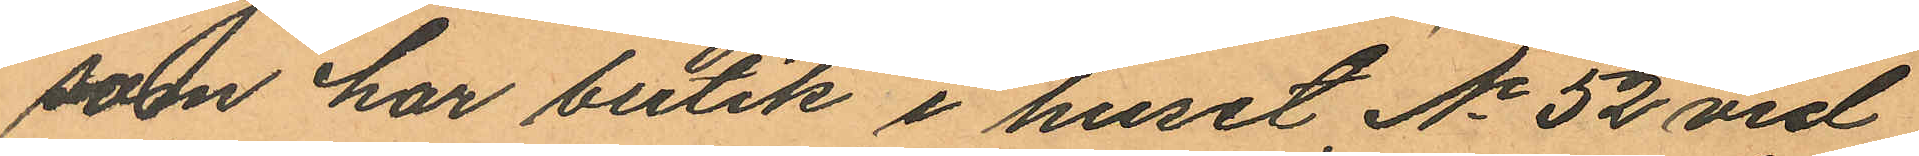som har butik i huset No 52 vid
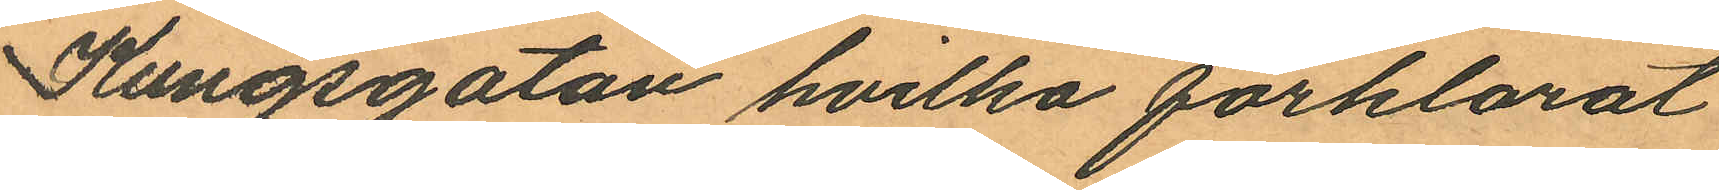Kungsgatan hvilka förklarat
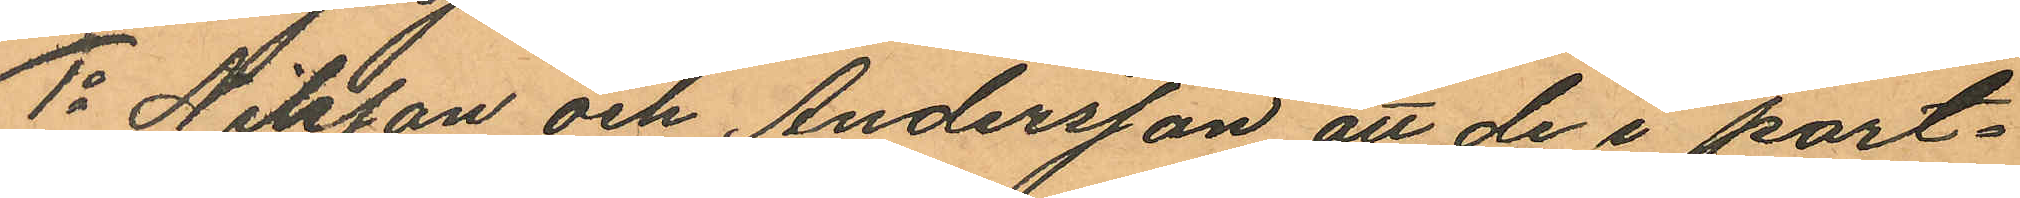1o Nilsson och Andersson att de i port¬
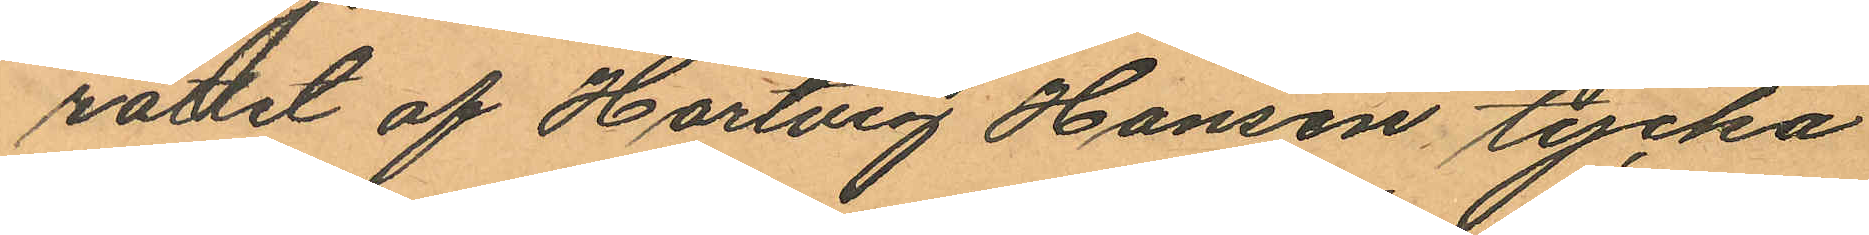rättet af Hartvig Hansen tycka
